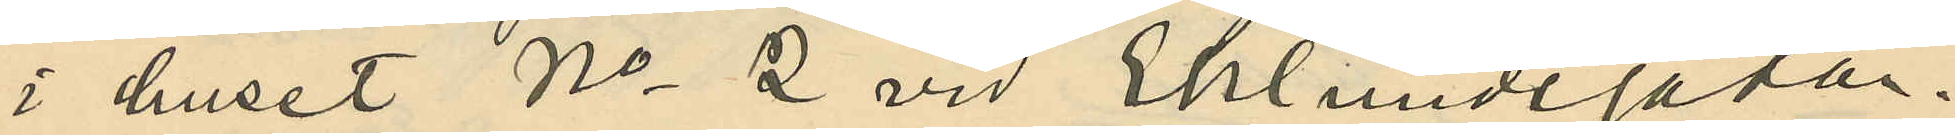i huset No 2 vid Eklundsgatan.
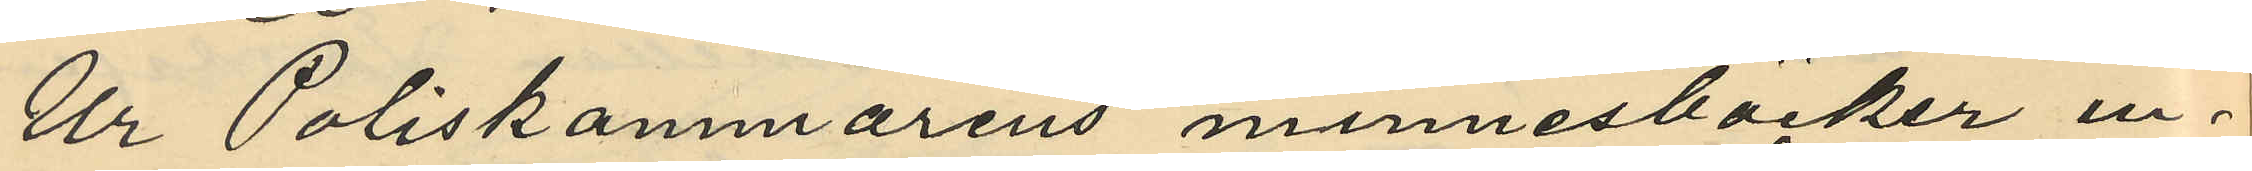Ur Poliskammarens minnesböcker in¬
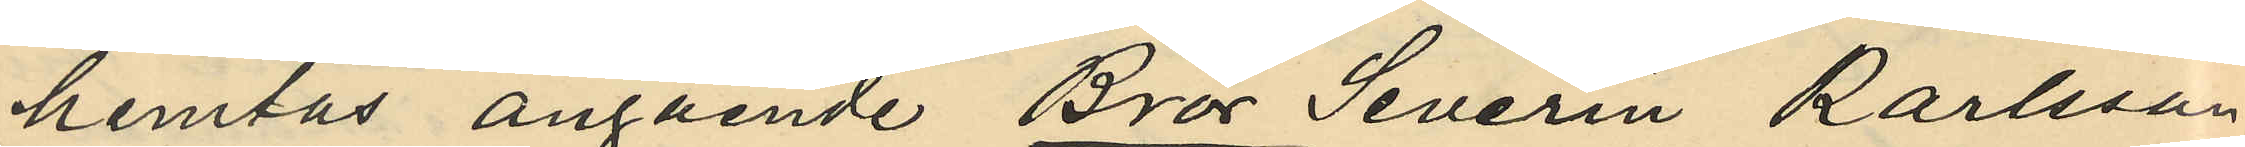hemtas angående Bror Severin Karlsson
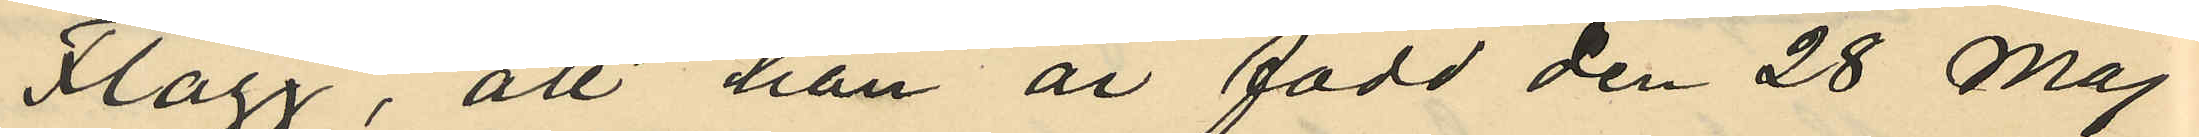Flagg, att han är född den 28 Maj
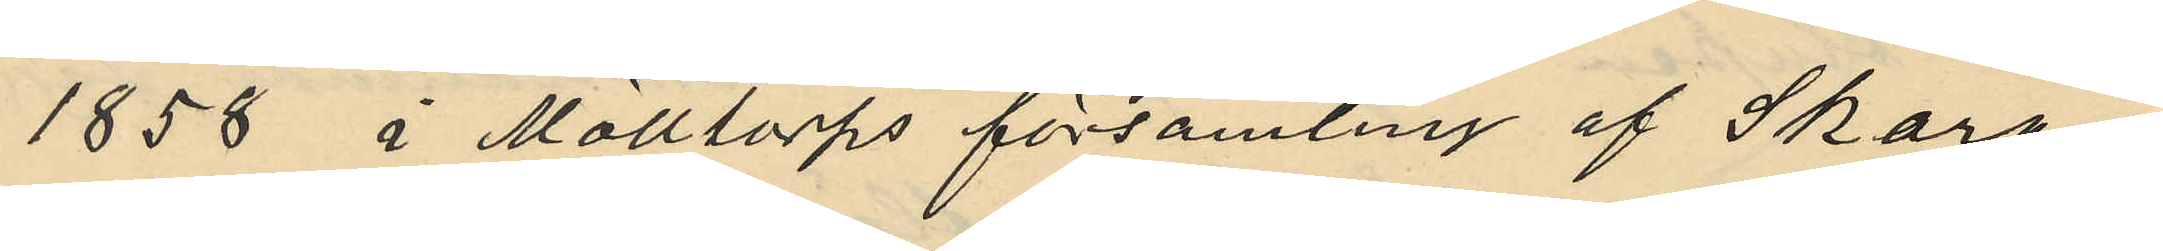1858 i Molltorps församling af Skara¬
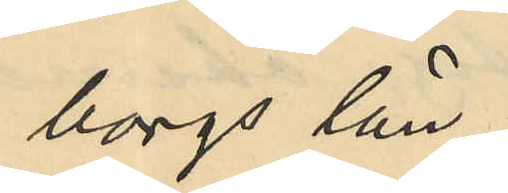borgs län;
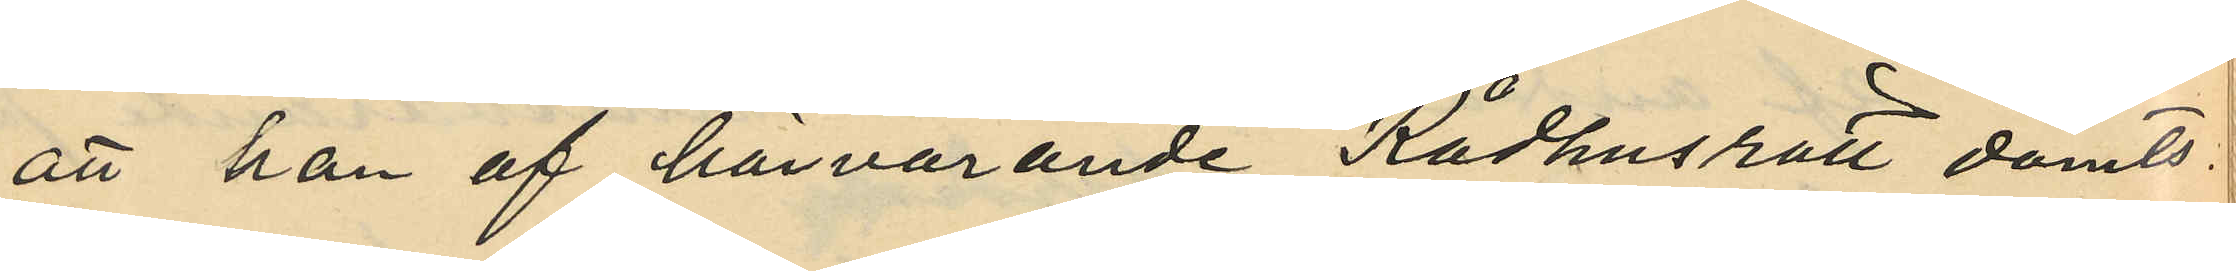att han af härvarande Rådhusrätt dömts
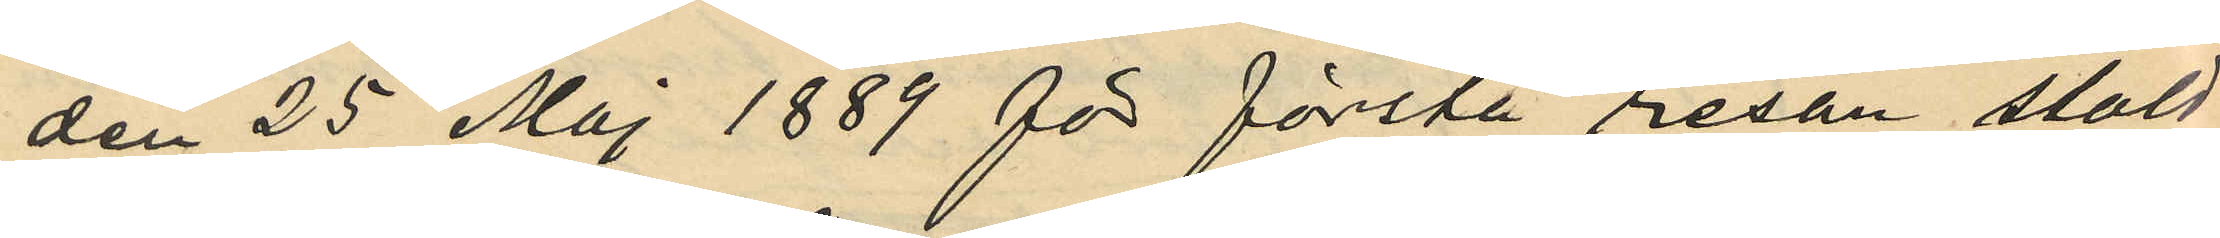den 25 Maj 1889 för första resan stöld
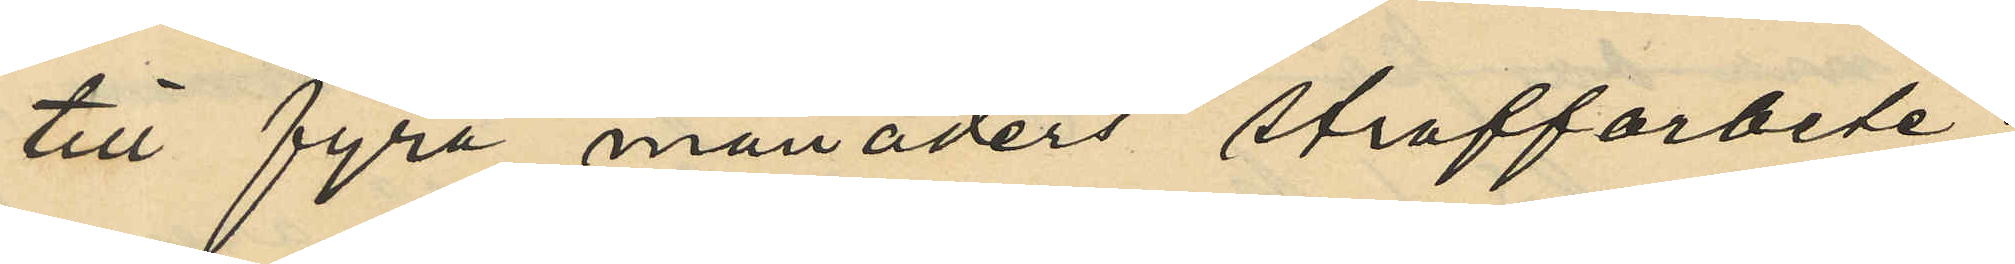till fyra månaders straffarbete;
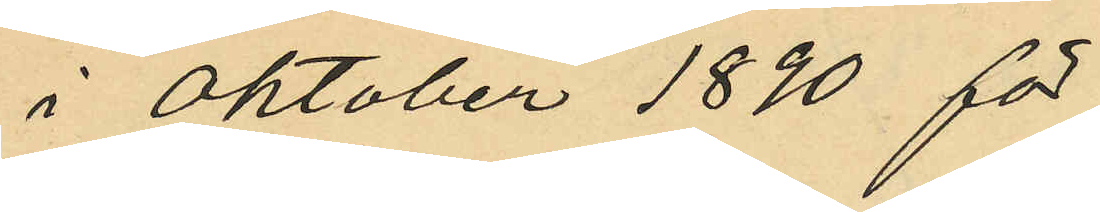i Oktober 1890 för
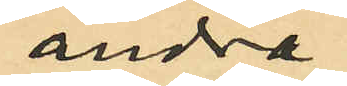andra
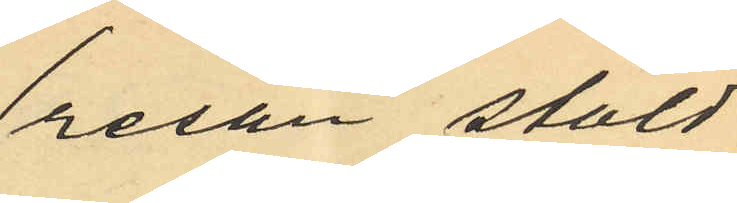resan stöld
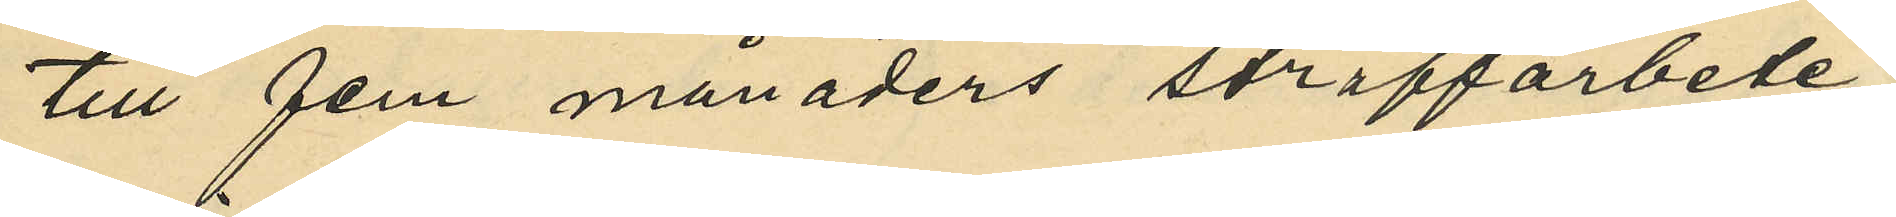till fem månaders straffarbete;
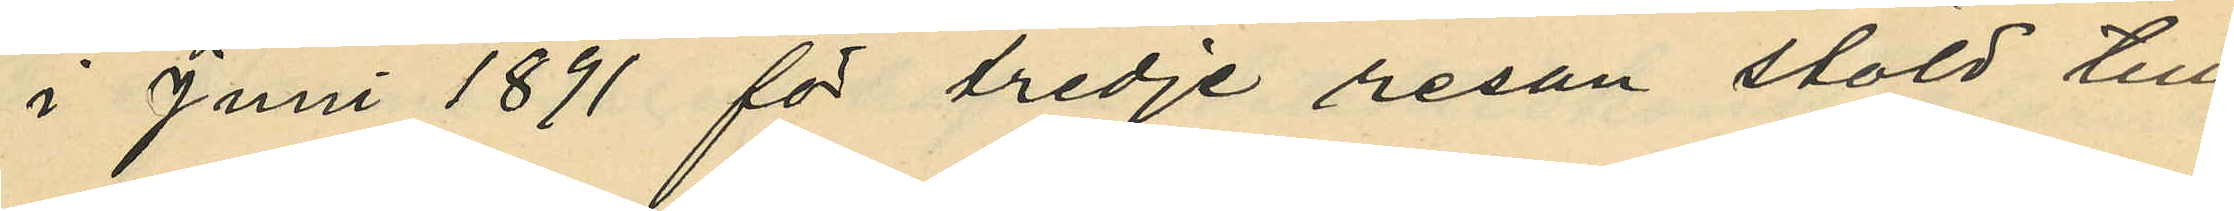i Juni 1891 för tredje resan stöld till
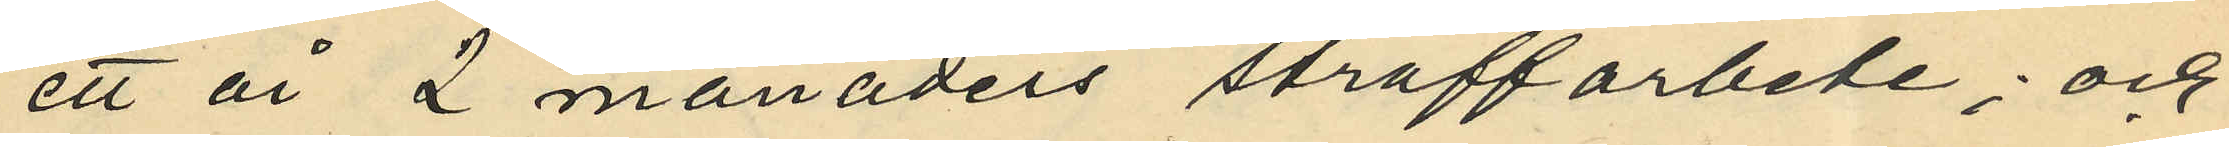ett år 2 månaders straffarbete; och
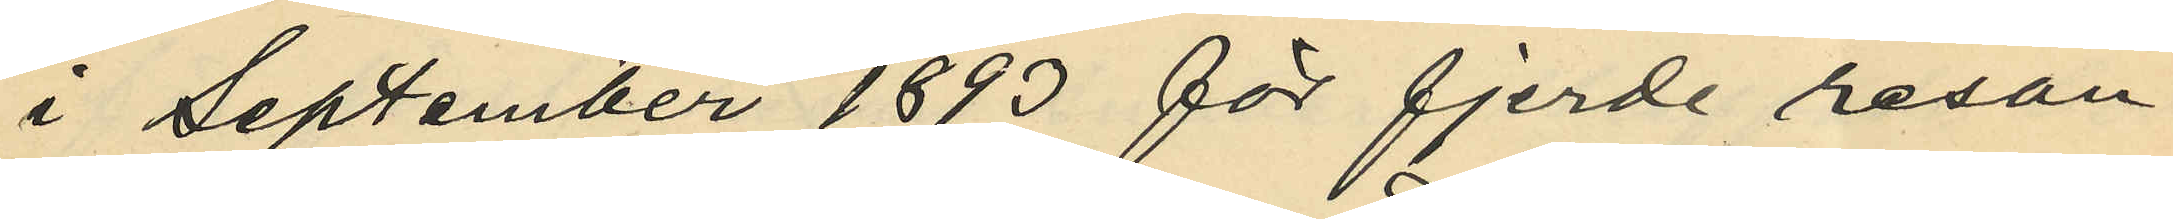i September 1893 för fjerde resan
